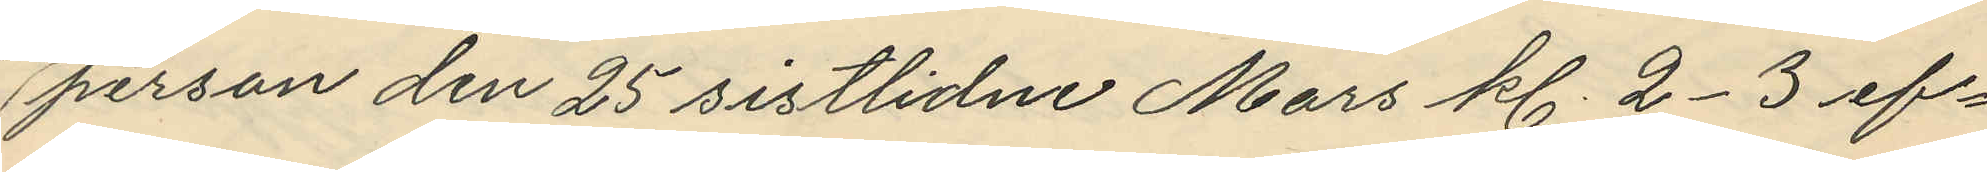person den 25 sistlidne Mars kl. 2-3 ef¬
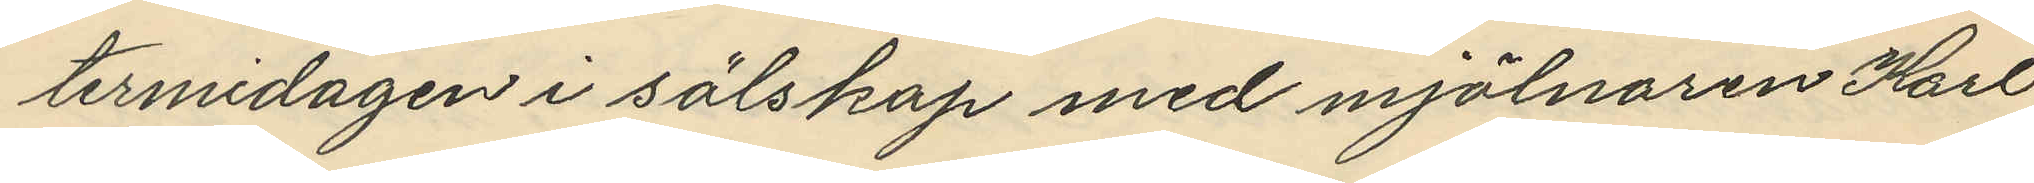termidagen i sälskap med mjölnaren Karl
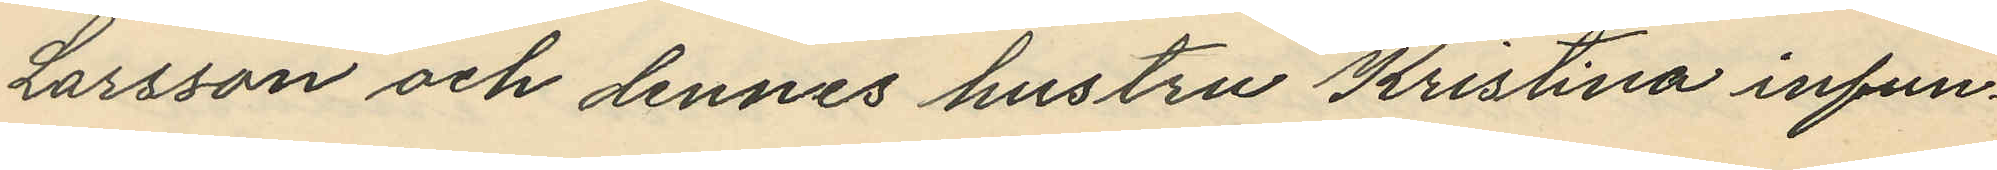Larsson och dennes hustru Kristina infun¬
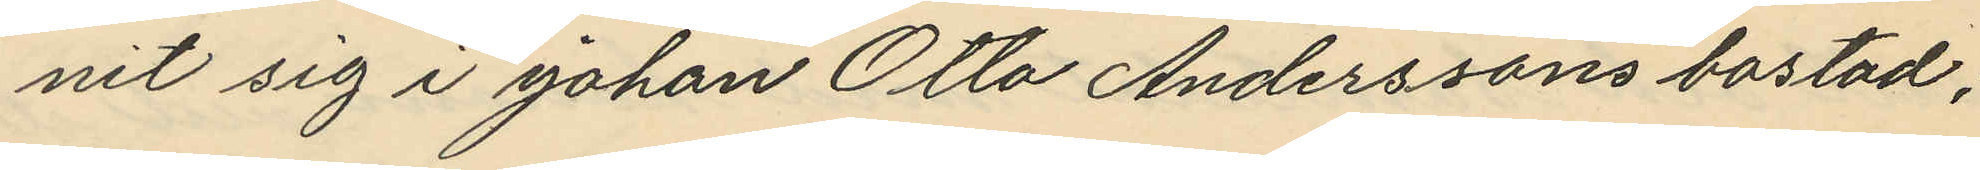nit sig i Johan Otto Anderssons bostad;
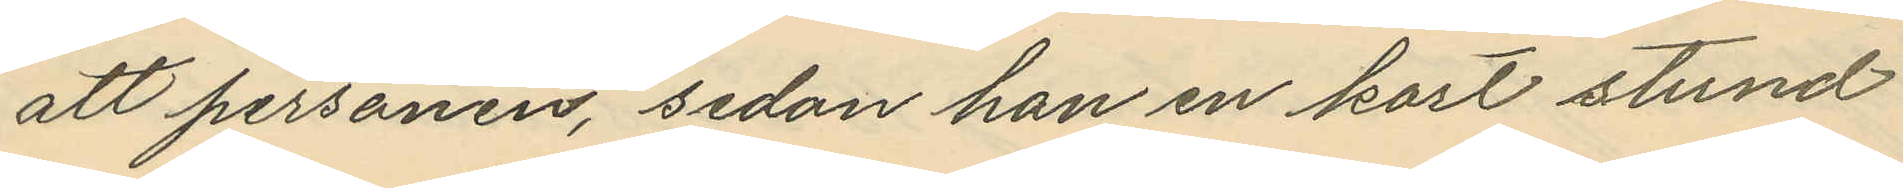att personen, sedan han en kort stund
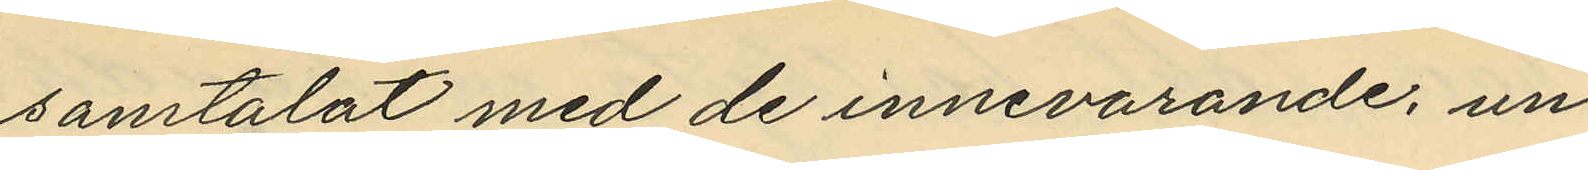samtalat med de innevarande, un¬
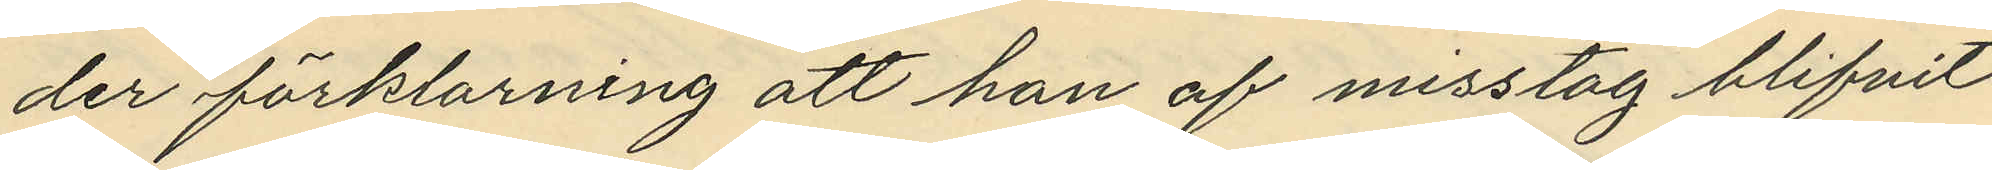der förklarning att han af misstag blifvit
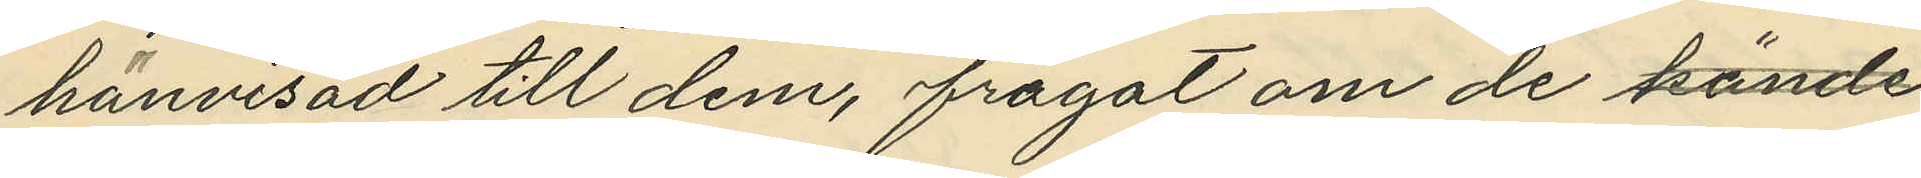hänvisad till dem, frågat om de kände
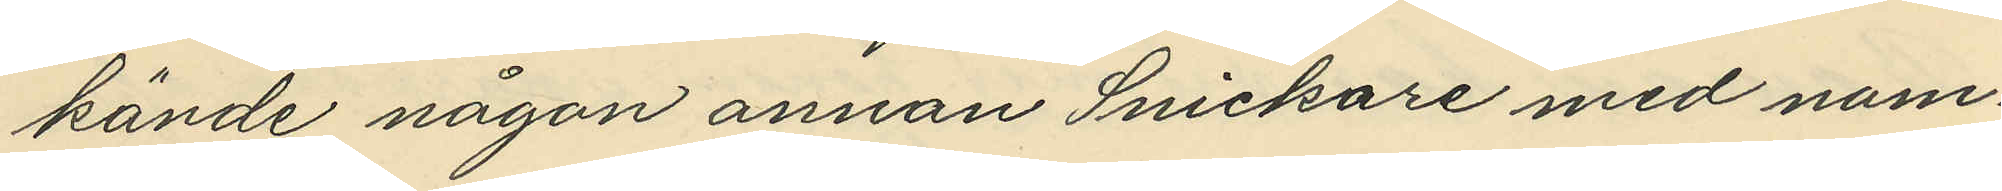kände någon annan Snickare med nam¬
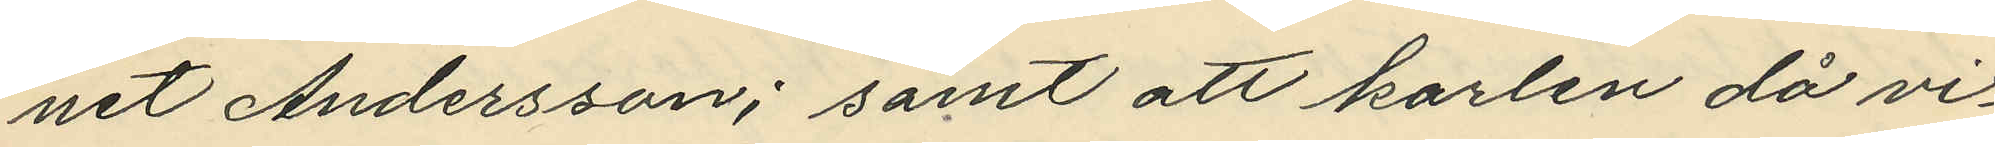net Andersson; samt att karlen då vi¬
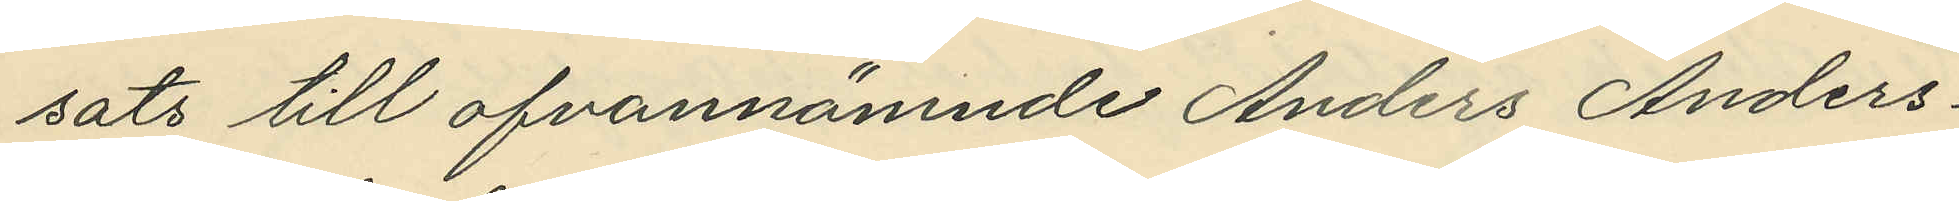sats till ofvannämnde Anders Anders¬
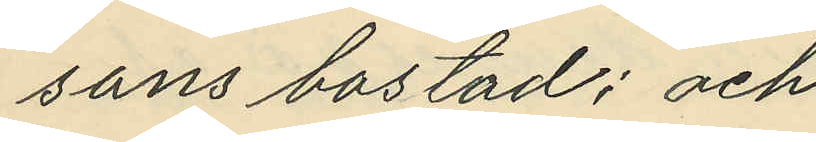sons bostad; och
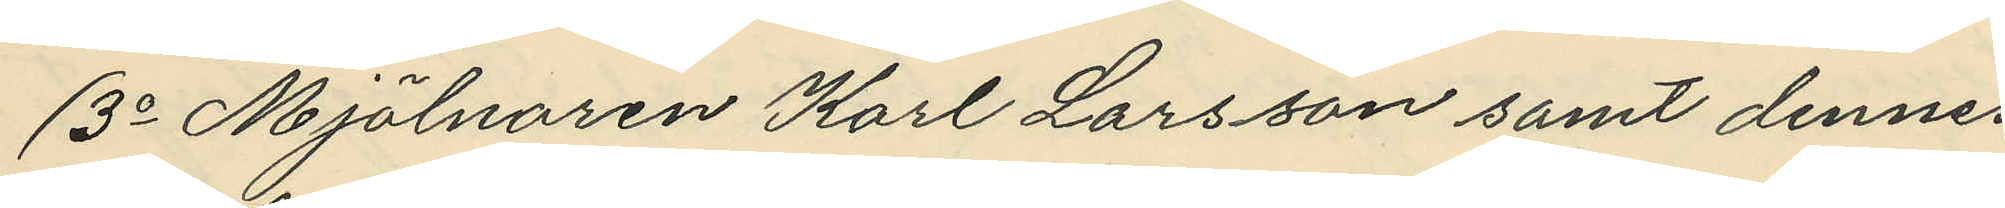3o Mjölnaren Karl Larsson samt dennes
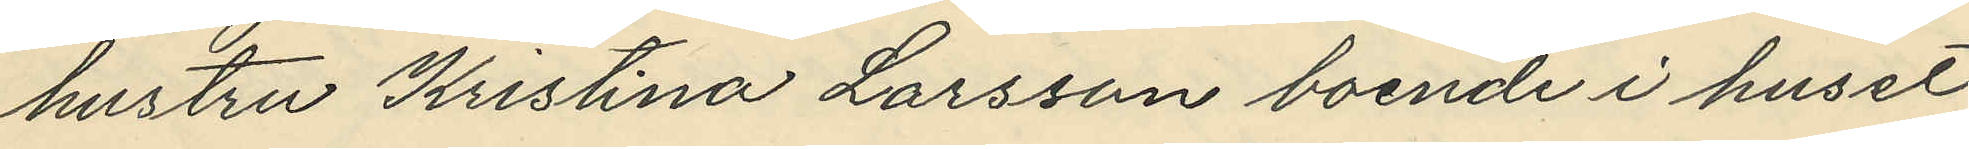hustru Kristina Larsson boende i huset
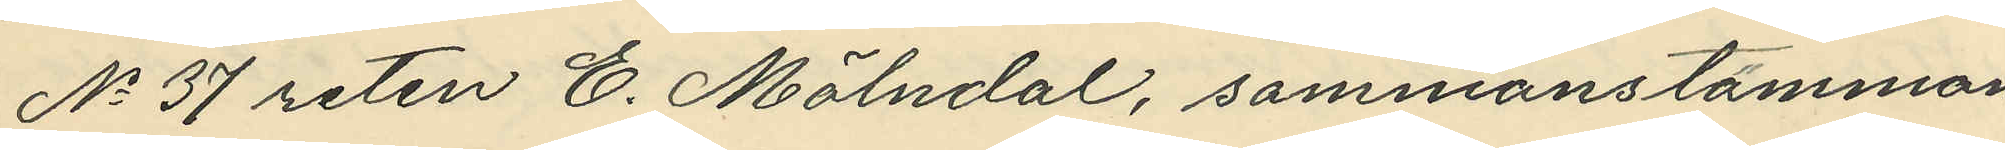No 37 roten E. Mölndal, sammanstämman¬
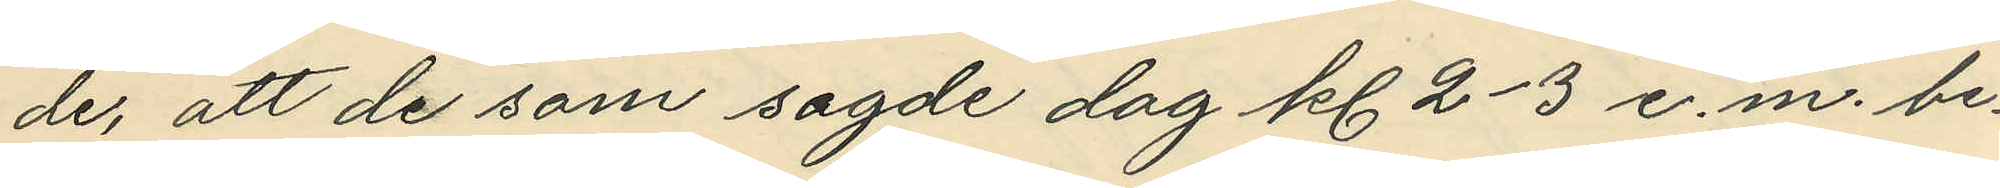de, att de som sagde dag kl. 2-3 e.m. be¬
